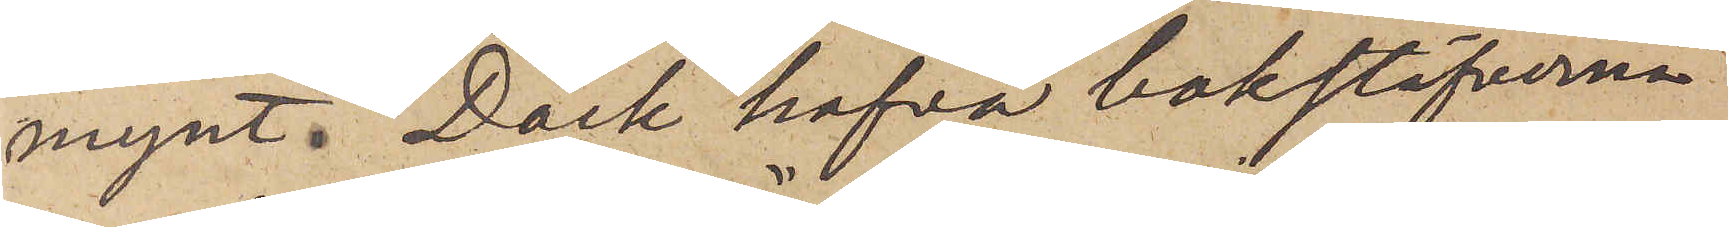mynt. Dock hafva bokstäfverna
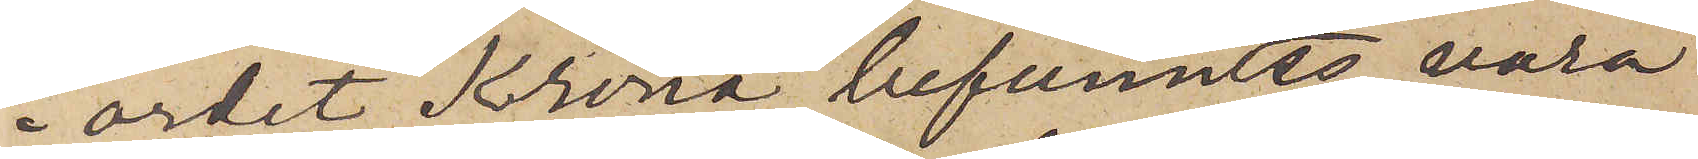i ordet "Krona" befunnits vara
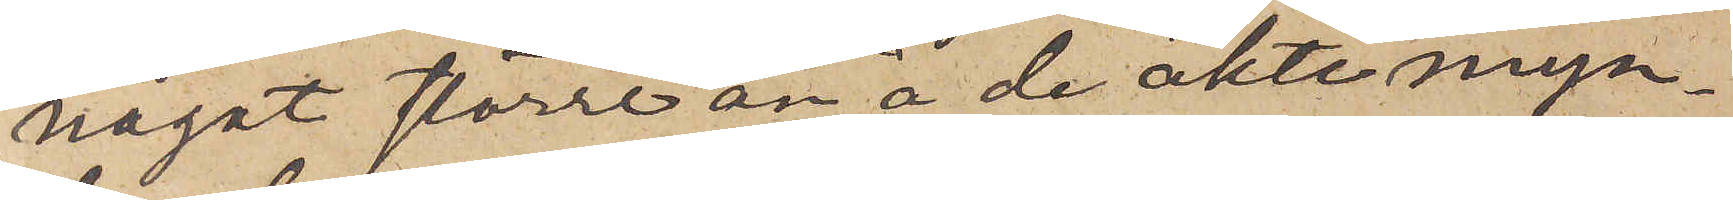något större än å de äkte myn¬
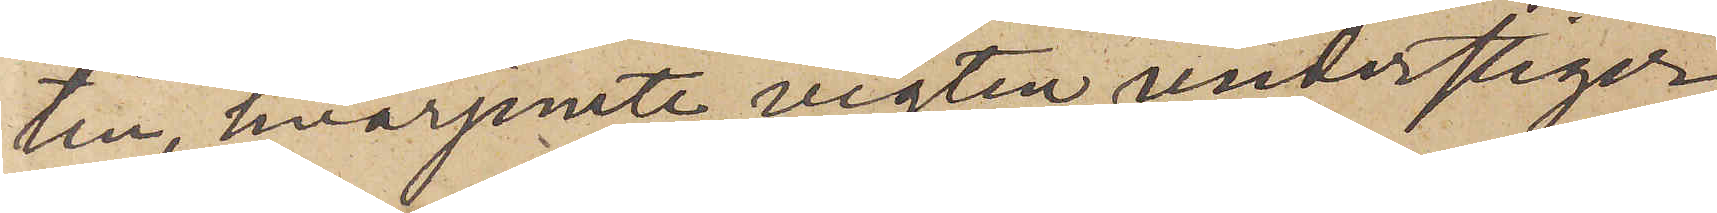ten, hvarjemte vigten understiger
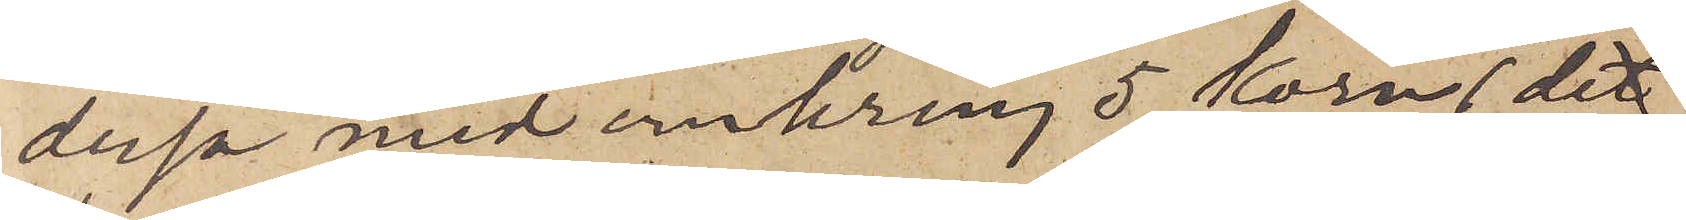dessa med omkring 5 Korn (de
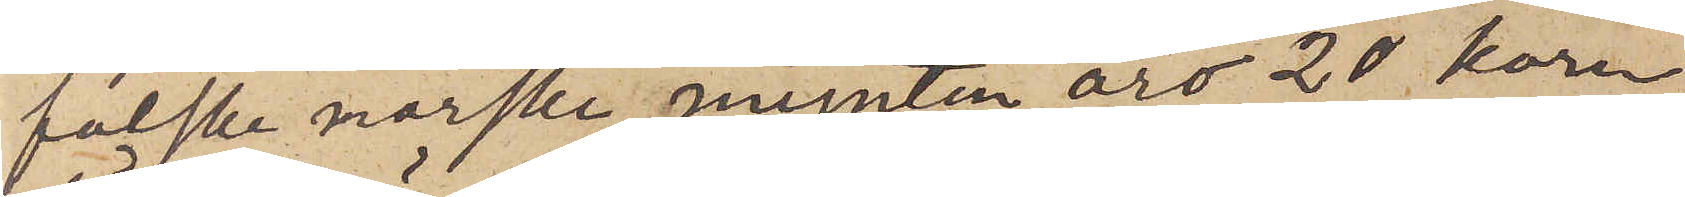falska norske mynten äro 20 korn
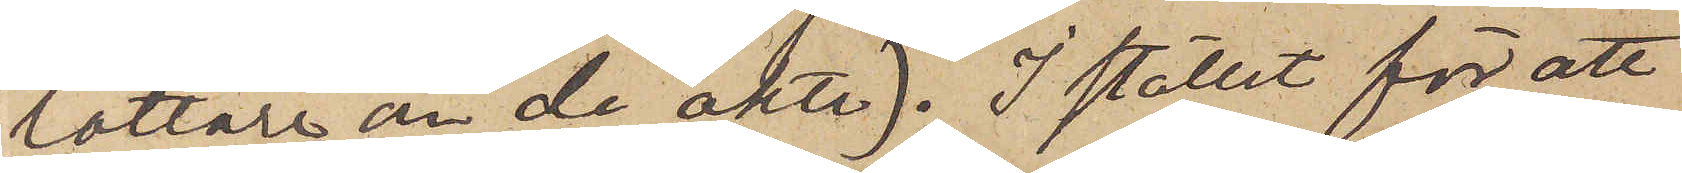lättare än de äkte). I stället för att
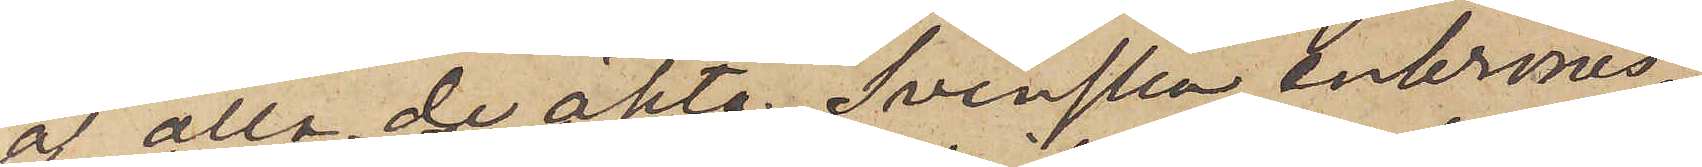af alla de äkta Svenska enkrones¬
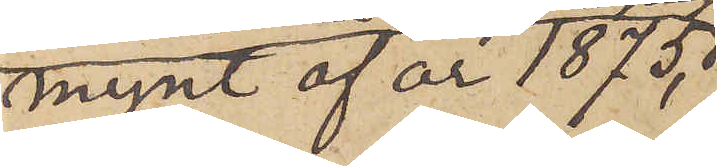mynt af år 1875, 
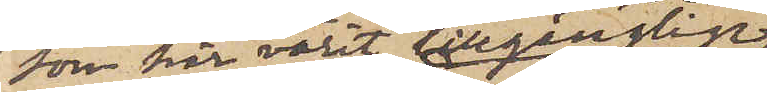son här varit tillgänglige
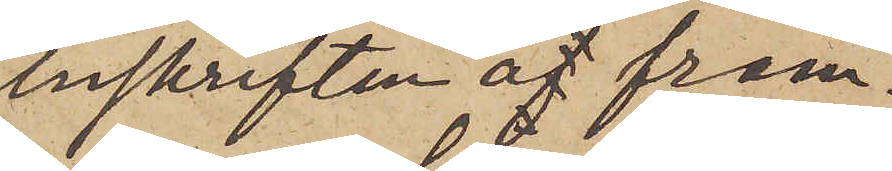inskriften å fram¬
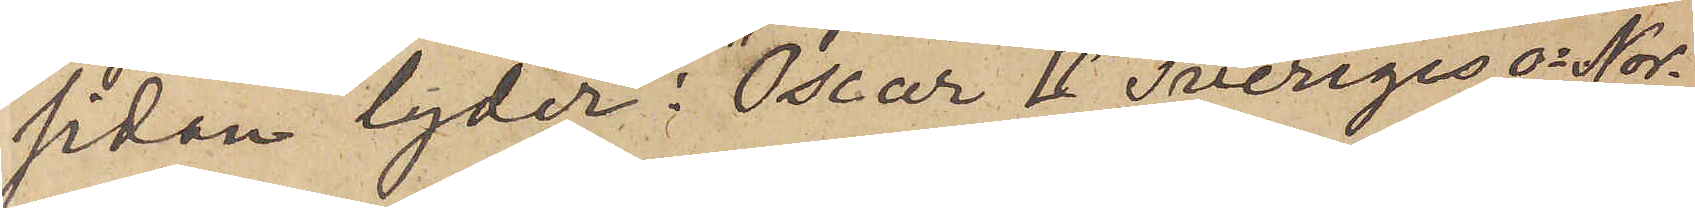sidan lyder: "Oscar II Sveriges o Nor¬
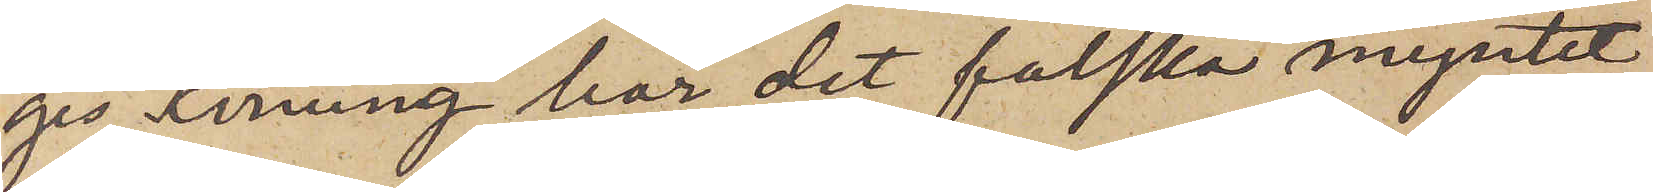ges Konung" har det falska myntet
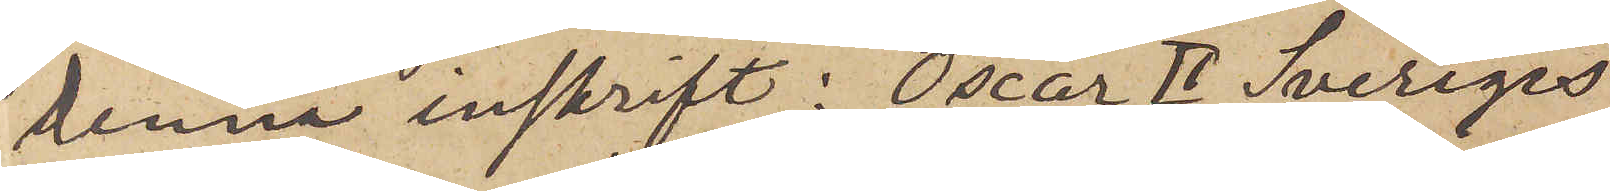denna inskrift: "Oscar II Sveriges
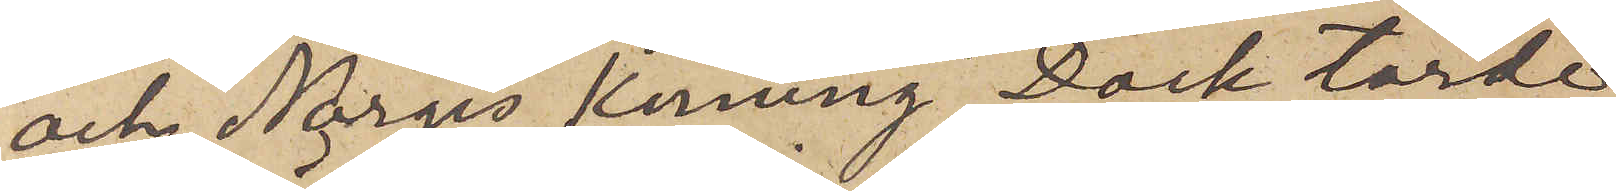och Norges Konung". Dock torde
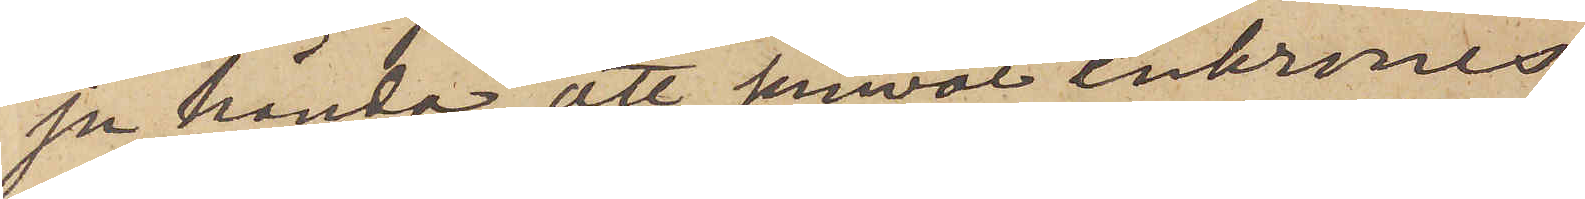ju hända, att jemväl enkrones
